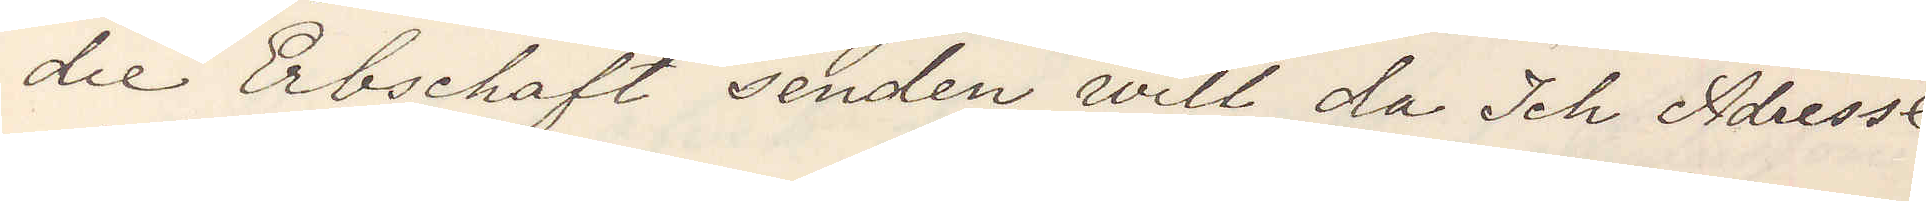die Erbschaft senden will da Ich Adresse
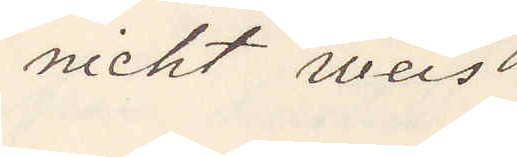nicht weis.
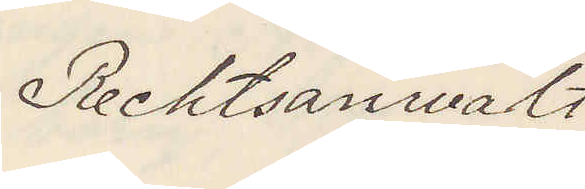Rechtsanwalt
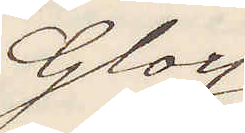Gloy
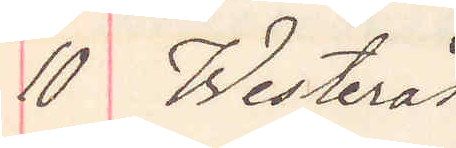10 Westerås
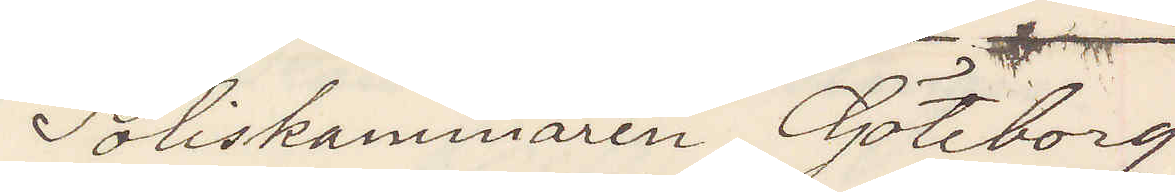Poliskammaren Göteborg
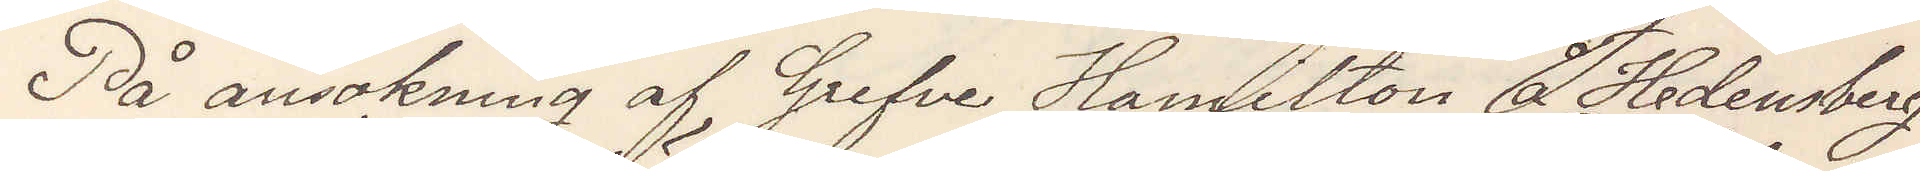På ansökning af Grefve Hamilton å Hedensberg
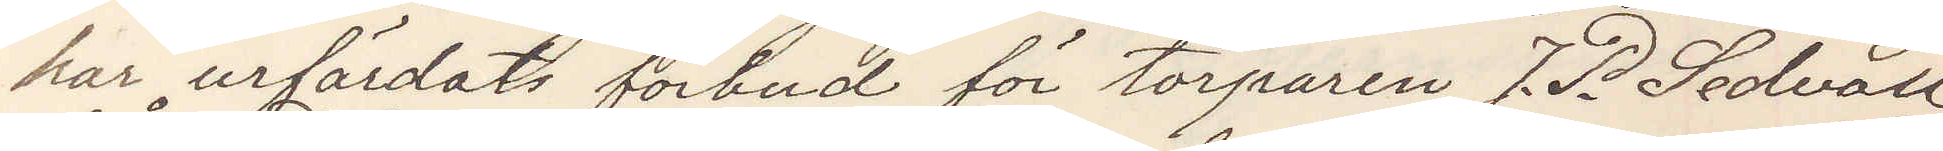har urfärdats förbud för torparen J. P. Sedvall
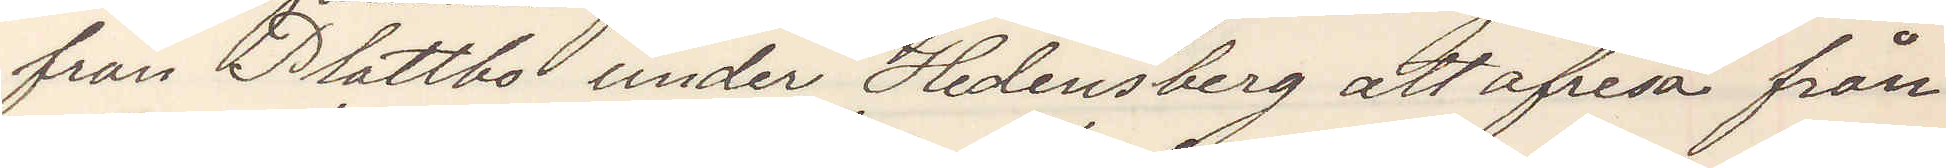från Plattbo under Hedensberg att afresa från
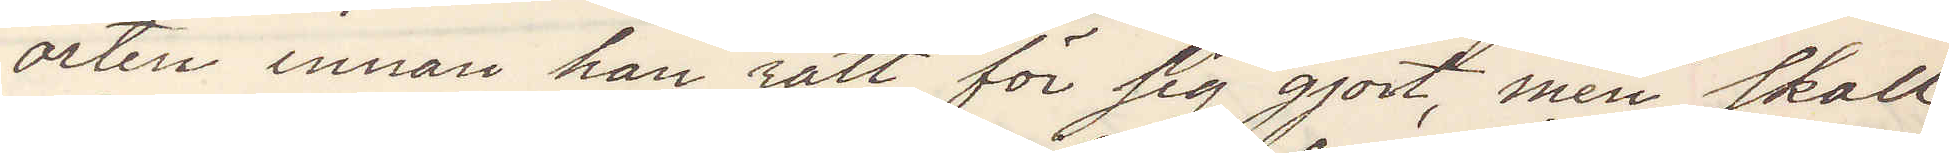orten innan han rätt för sig gjort, men skall
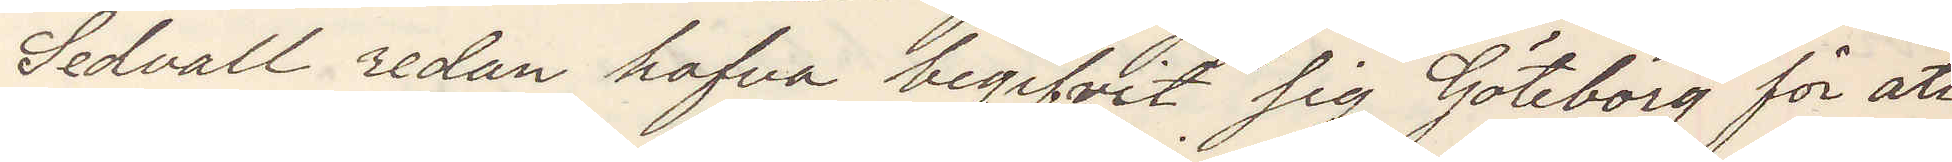Sedvall redan hafva begifvit sig Göteborg för att
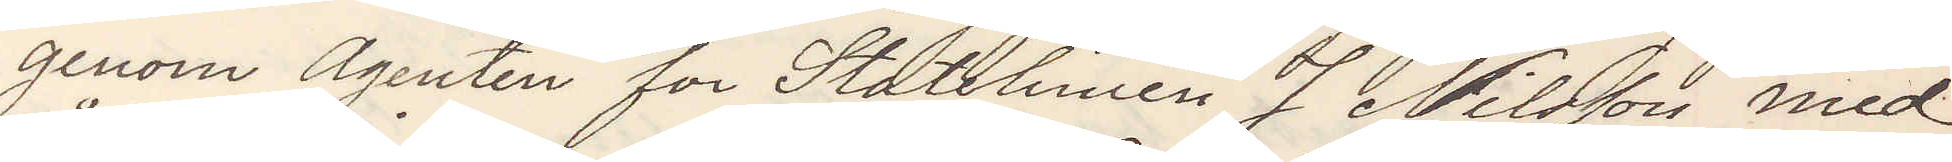genom agenten for Statelinien J Nilsson med
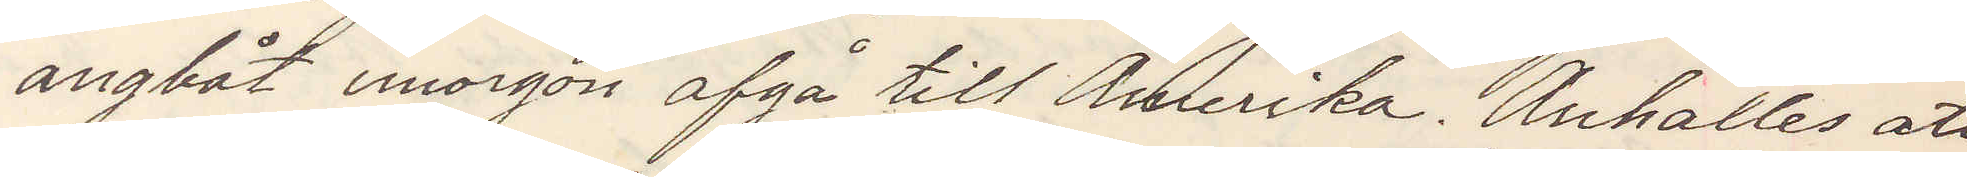ångbåt imorgon afgå till Amerika. Anhålles att
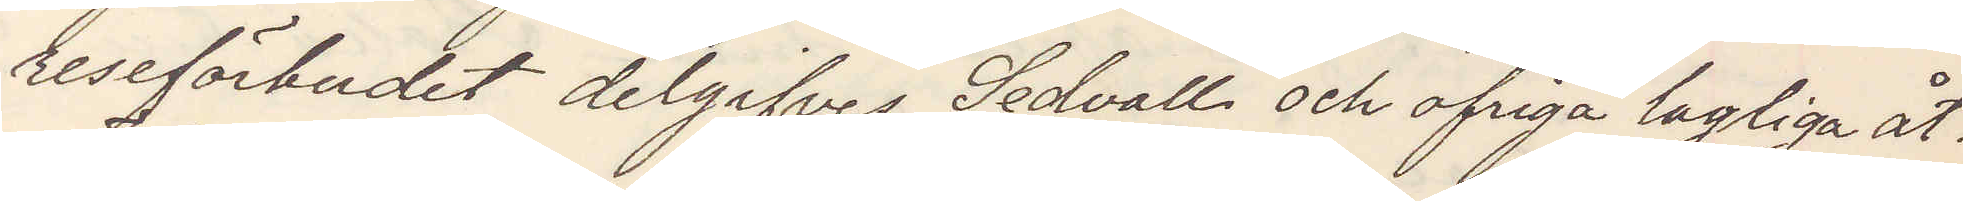reseförbudet delgifves Sedvall och öfriga lagliga åt¬
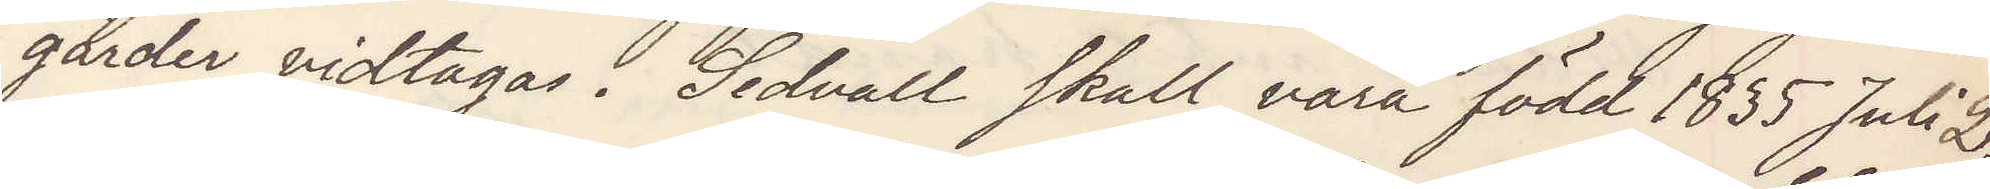gärder vidtagas. Sedvall skall vara född 1835 Juli 2,
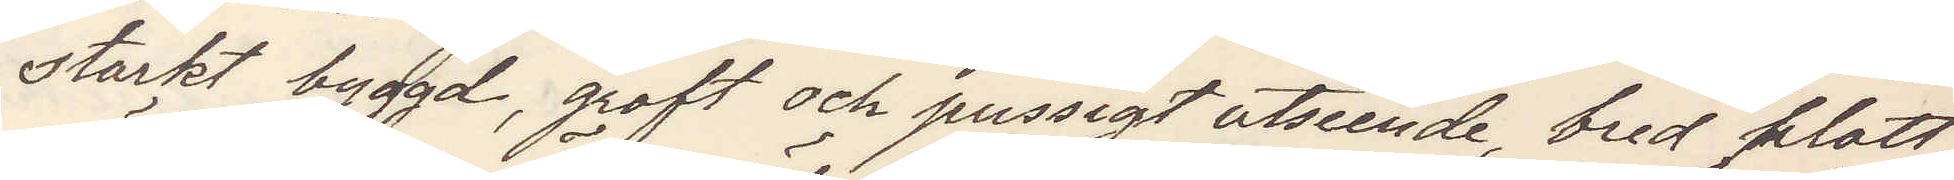starkt byggd, groft och pussigt utseende, bred flott
